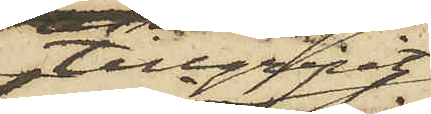tillgripit
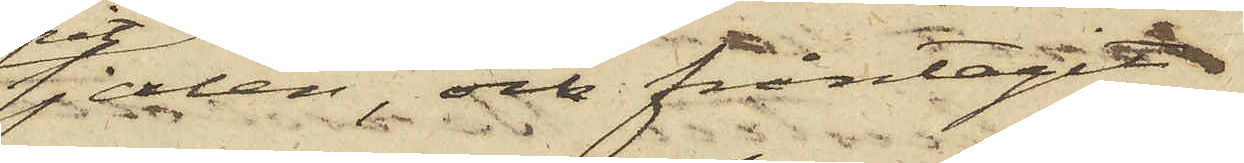sjalen, och fråntagit
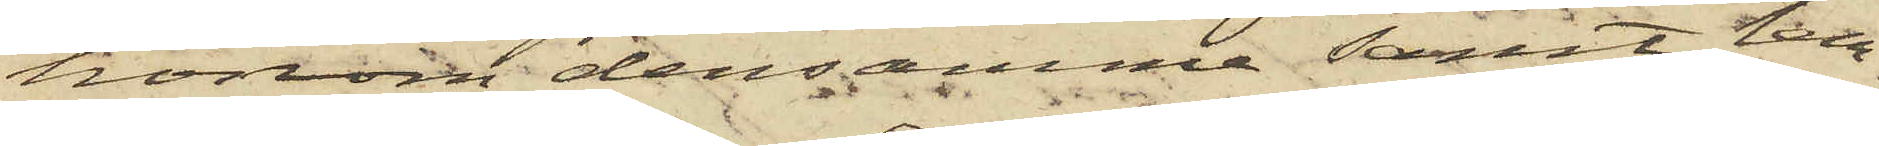honom densamma samt lem¬
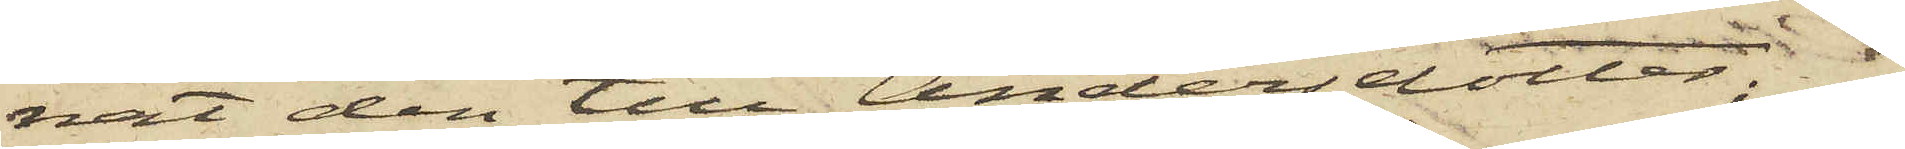nat den till Andersdotter;
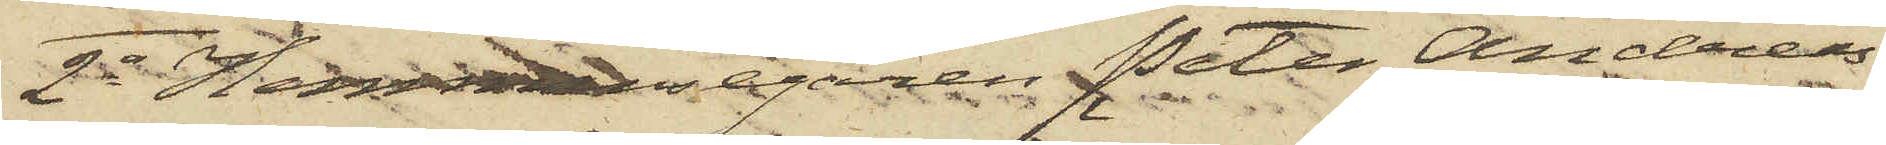2o Hemmansegaren Peter Andreas¬
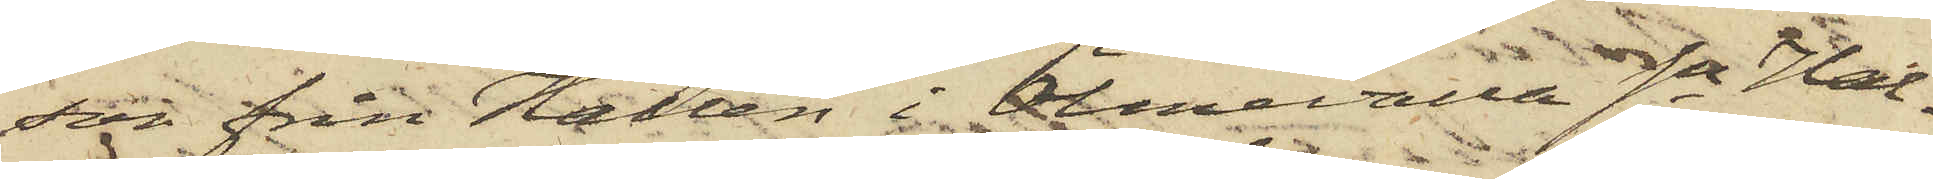son från Hallen i Ölmevalla Sn Hal¬
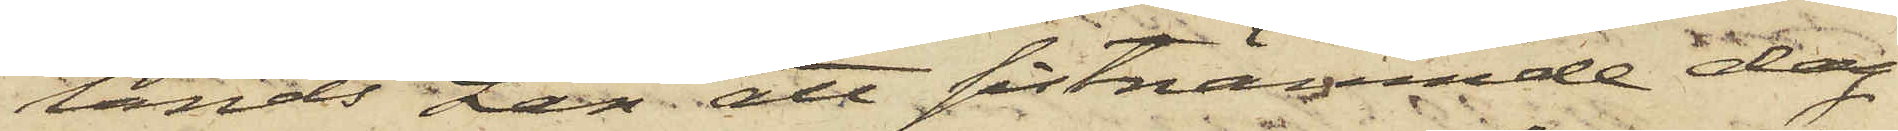lands Län att sistnämnde dag
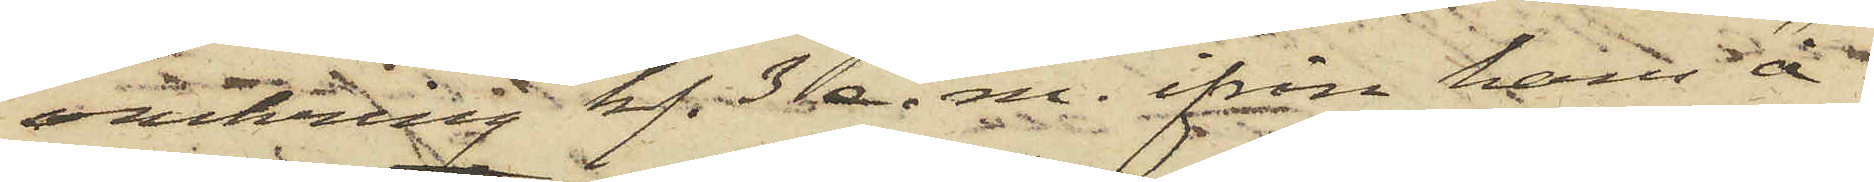omkring kl. 3 e. m. ifrån hans å
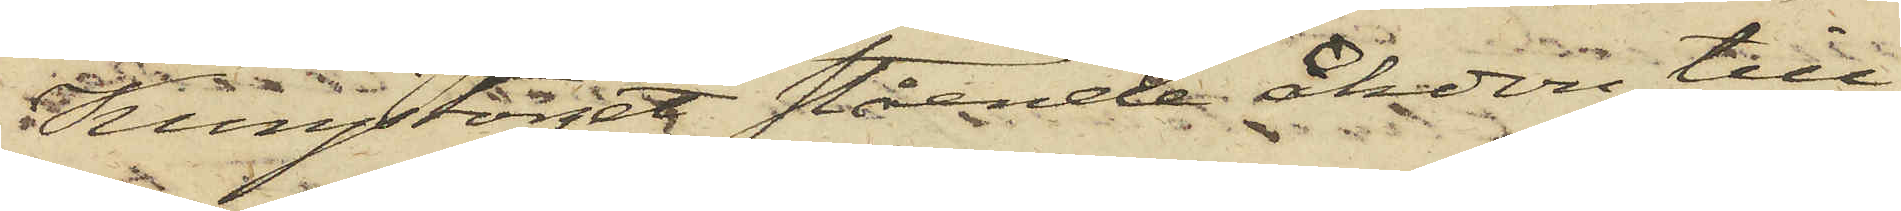Kungstorget stående åkdon till¬
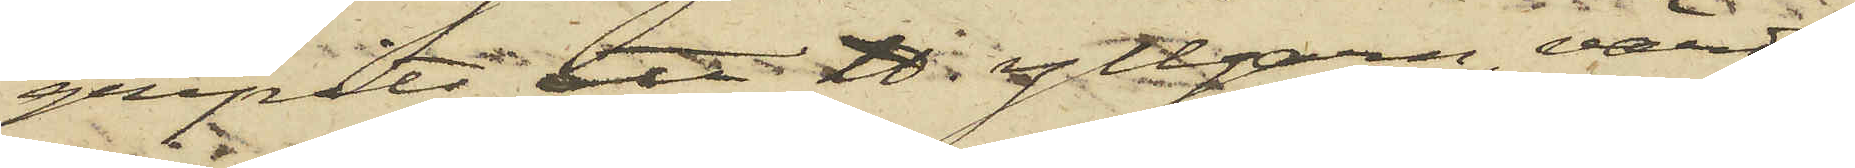gripits ett ℔ yllgarn,värdt
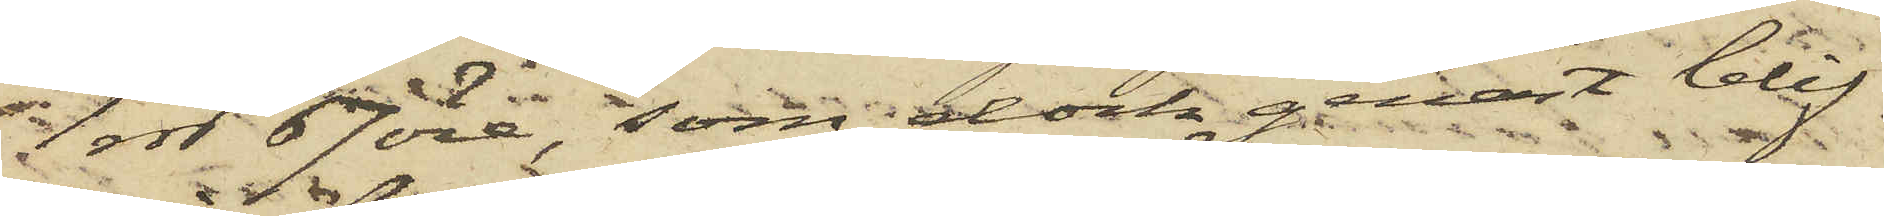1 rdr 67 öre, som dock genast blif¬
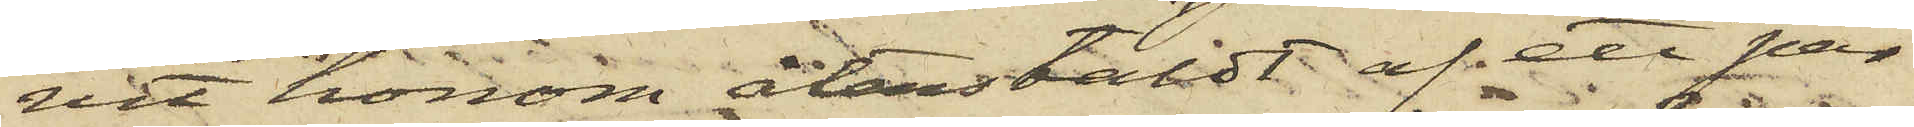vit honom återstäldt af ett par
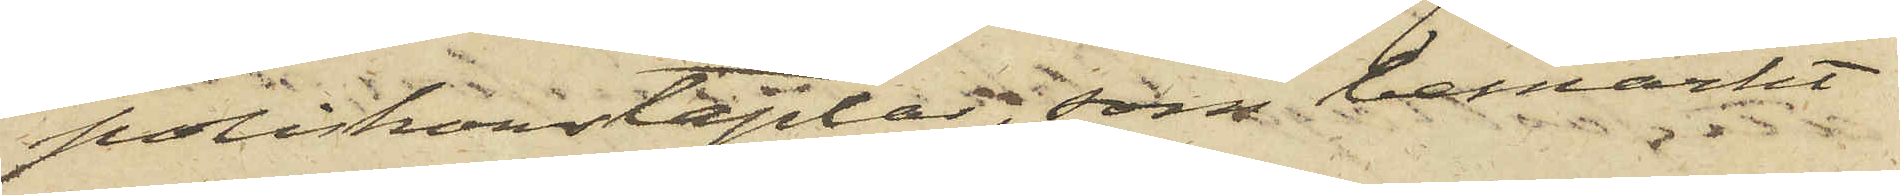poliskonstaplar, som bemärkt
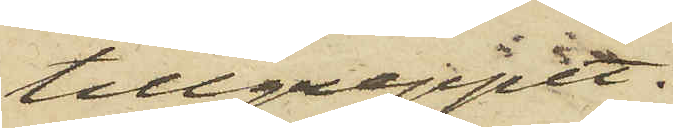tillgreppet.
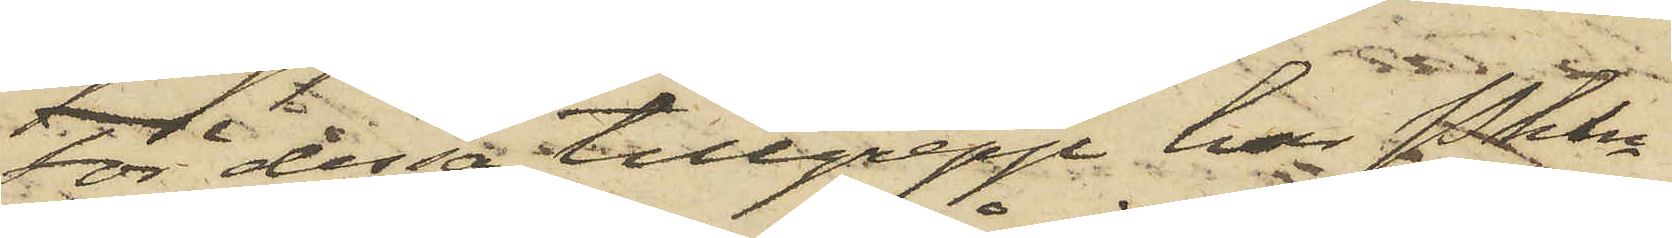 För dessa tillgrepp har Pkln
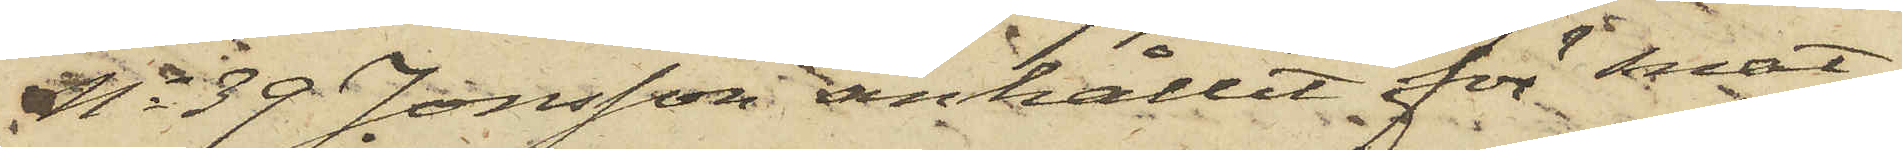No 39 Jonsson anhållit för snat¬
